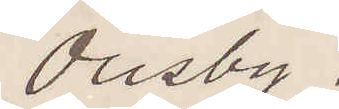Ousby.
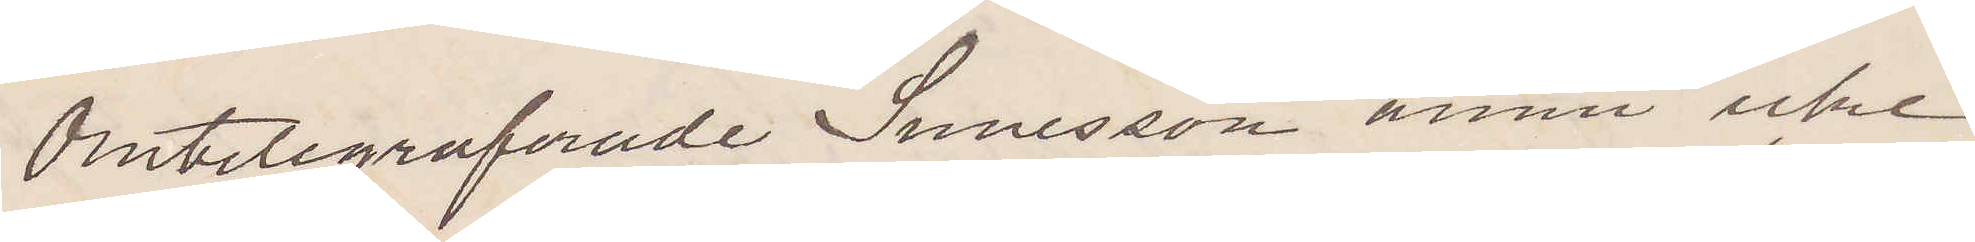Omtelegraferade Sunesson ännu icke
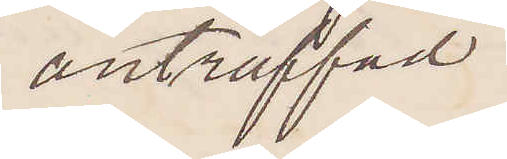anträffad.
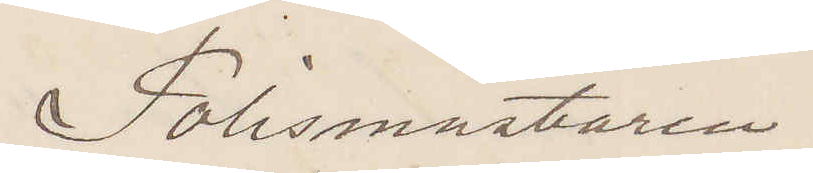Polismästaren.
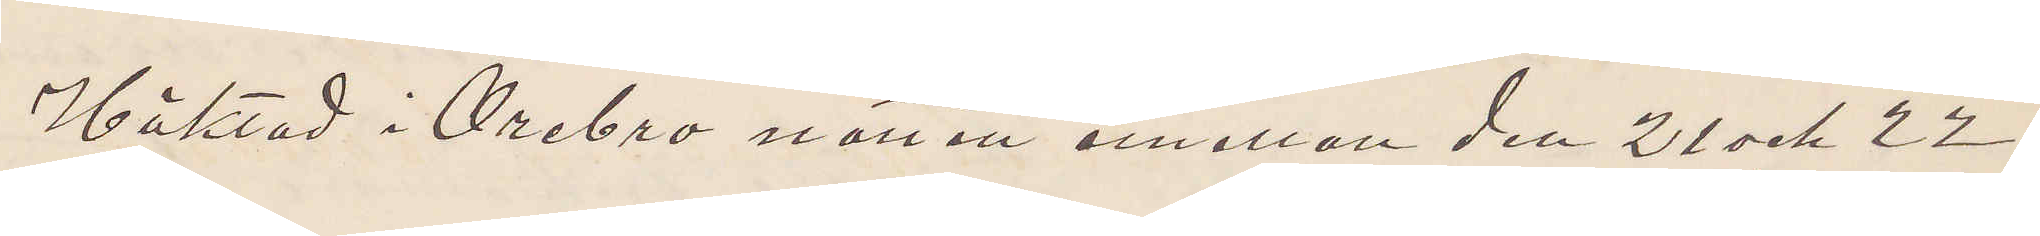Häktad i Örebro natten emellan den 21 och 22
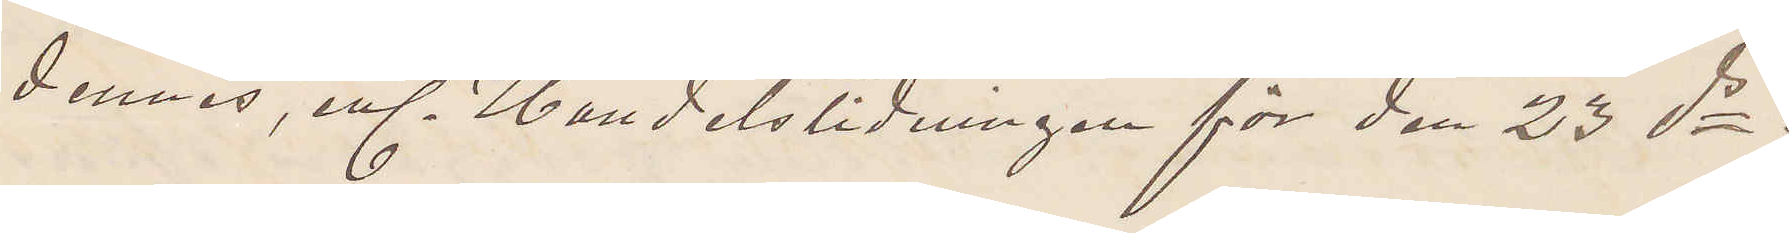dennes, enl. Handelstidningen för den 23 ds
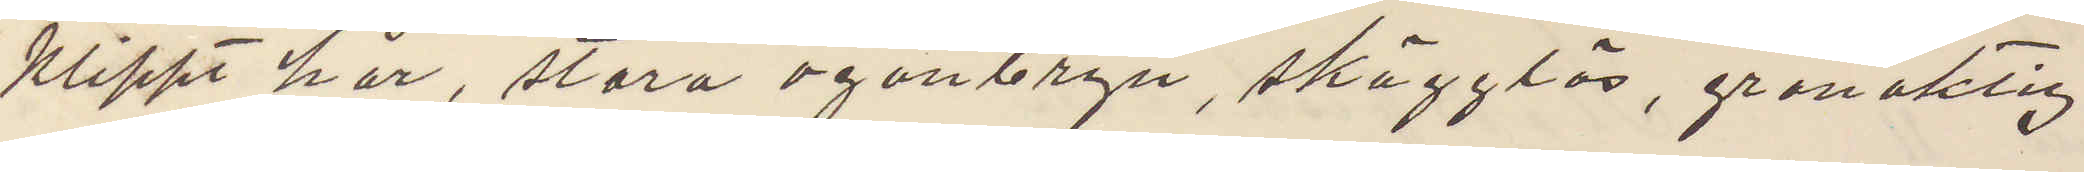klippt hår, stora ögonbryn, skägglös, grönaktig
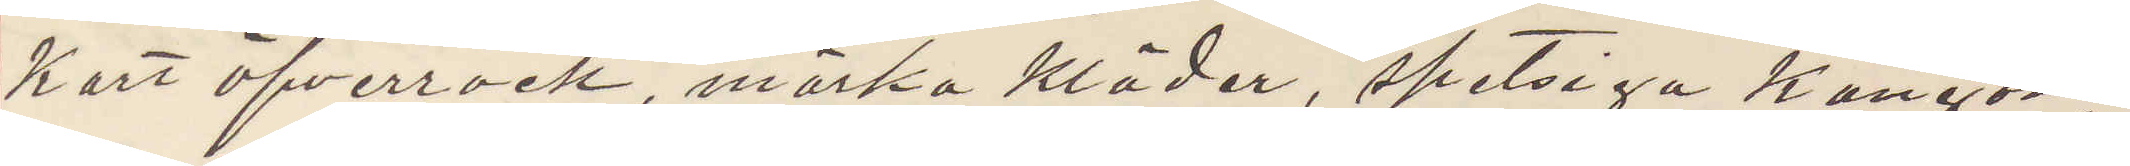kort öfverrock, mörka kläder, spetsiga kängor
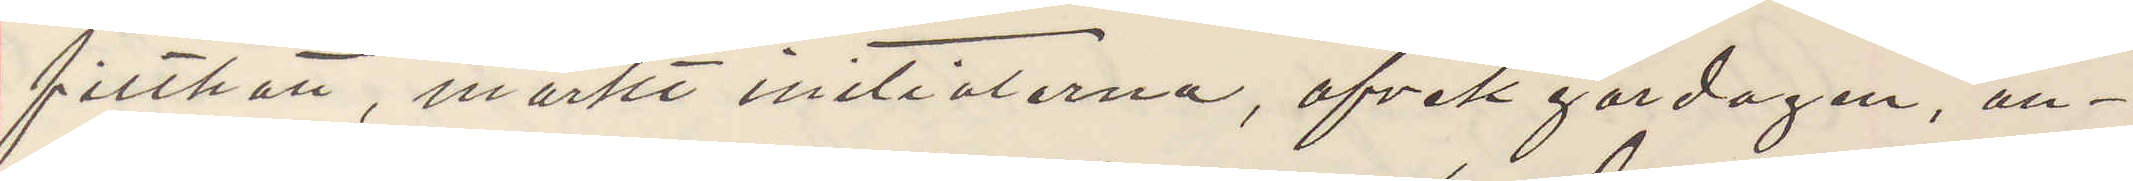filthatt, märkt ininitialerna, afvek gårdagen, an¬
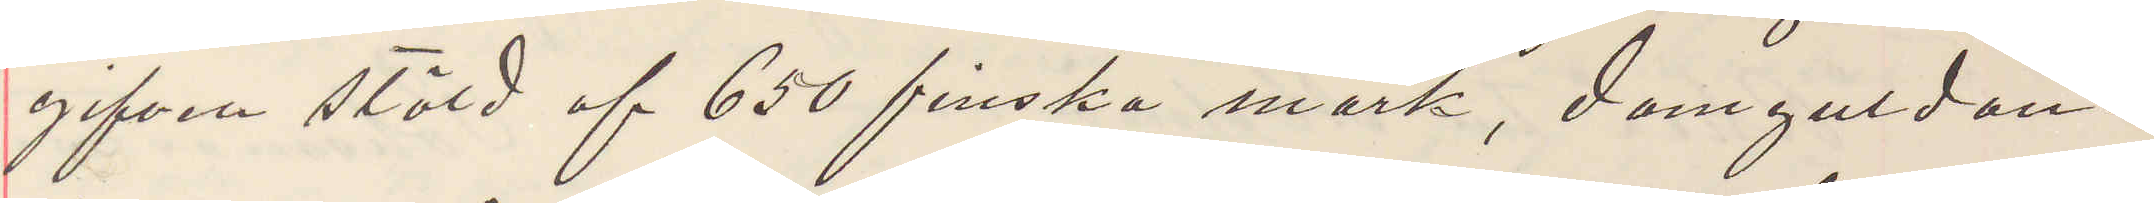gifven stöld af 650 finska mark, damguldan¬
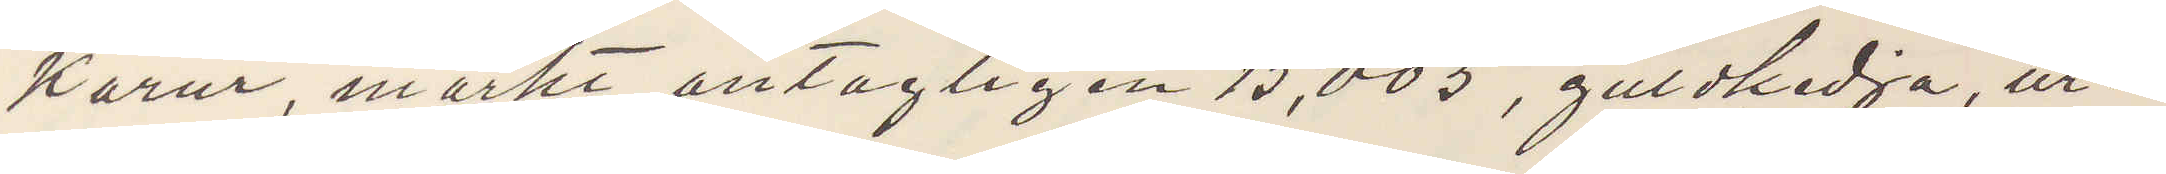karur, märkt antagligen 15,005, guldkedja, ur¬
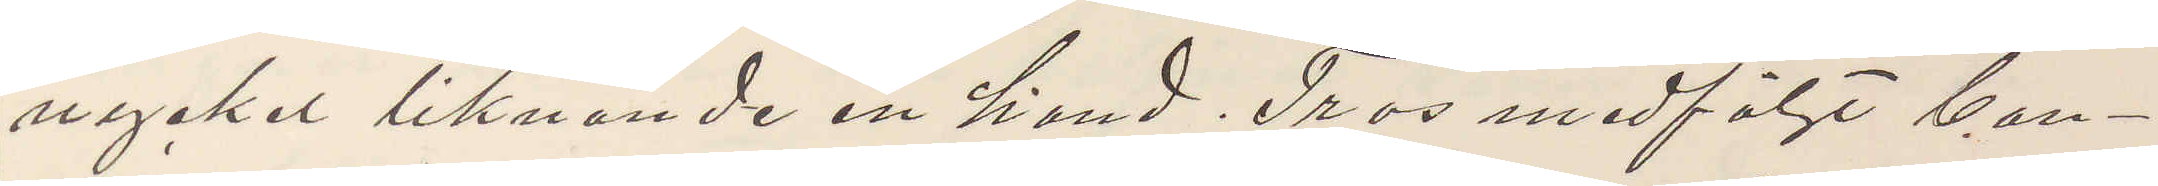nyckel liknande en hand. Tros medföljt ban¬
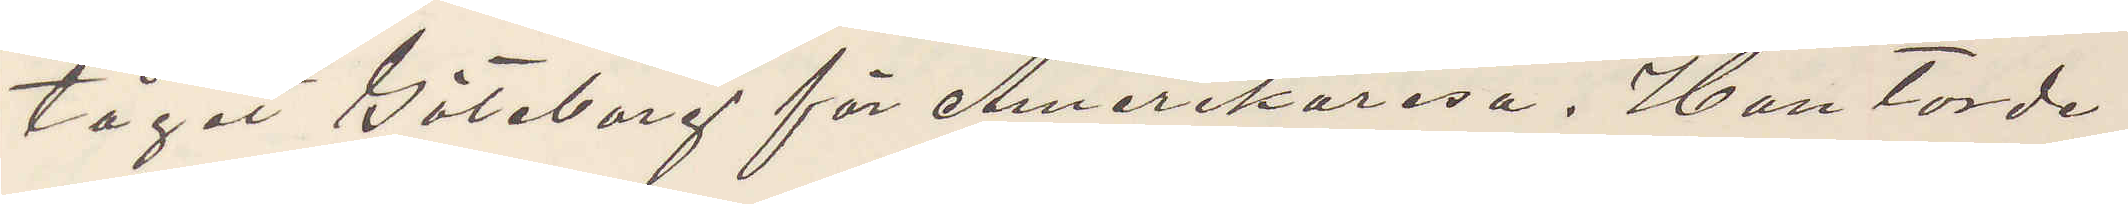tåget Göteborg för Amerikaresa. Han torde
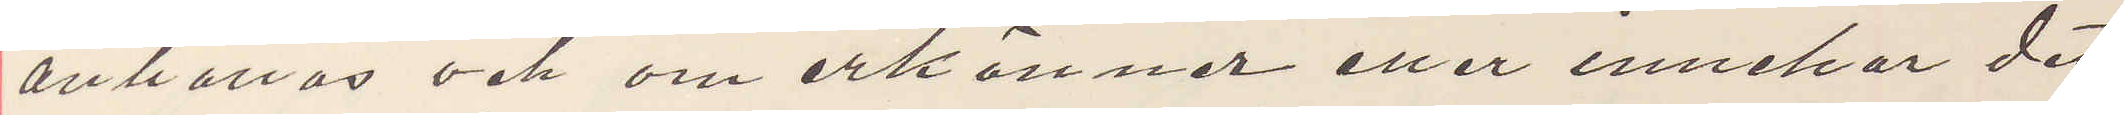anhållas och om erkänner eller innehar det
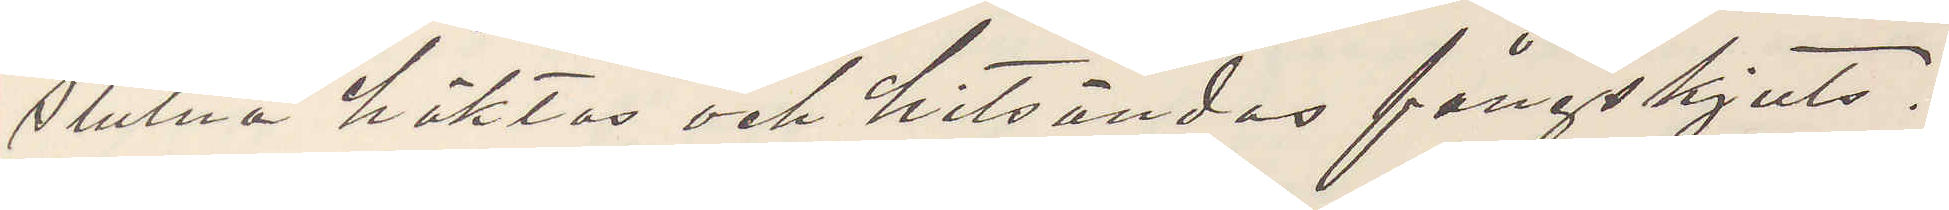stulna häktas och hitsändas fångskjuts.
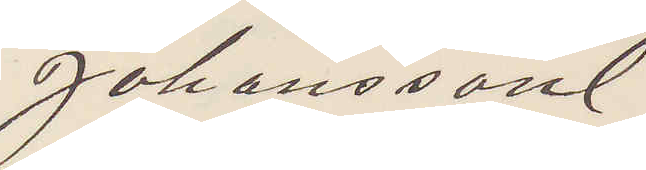Johansson
